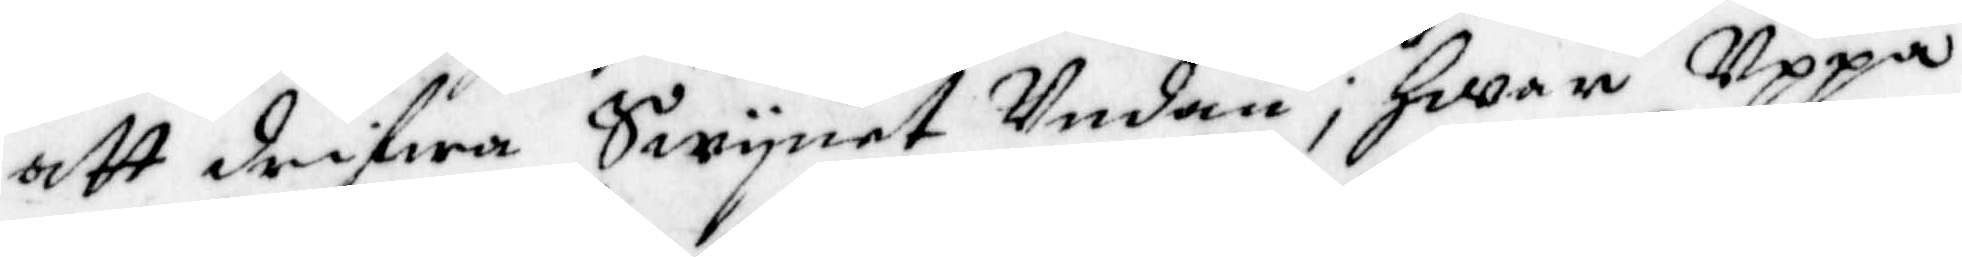att drifwa Swynet Undan; Hwar Uppå
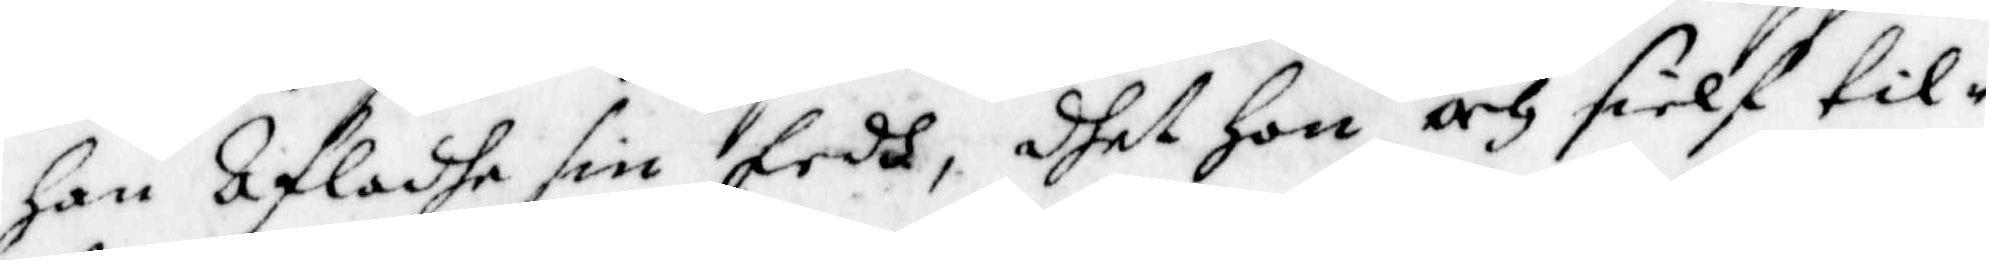Han afladhe sin Eedh, dhet Hon och sielf til¬
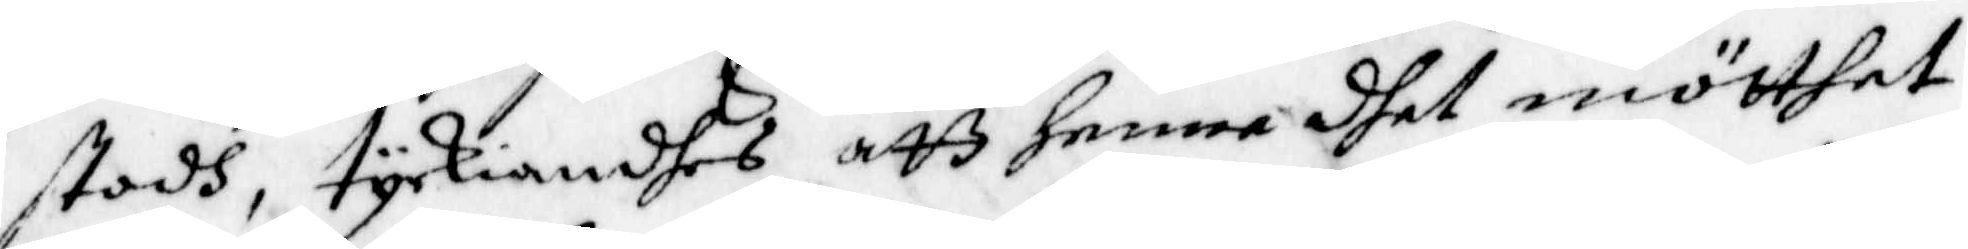stodh, tyckiandes att henne dhet mötthet
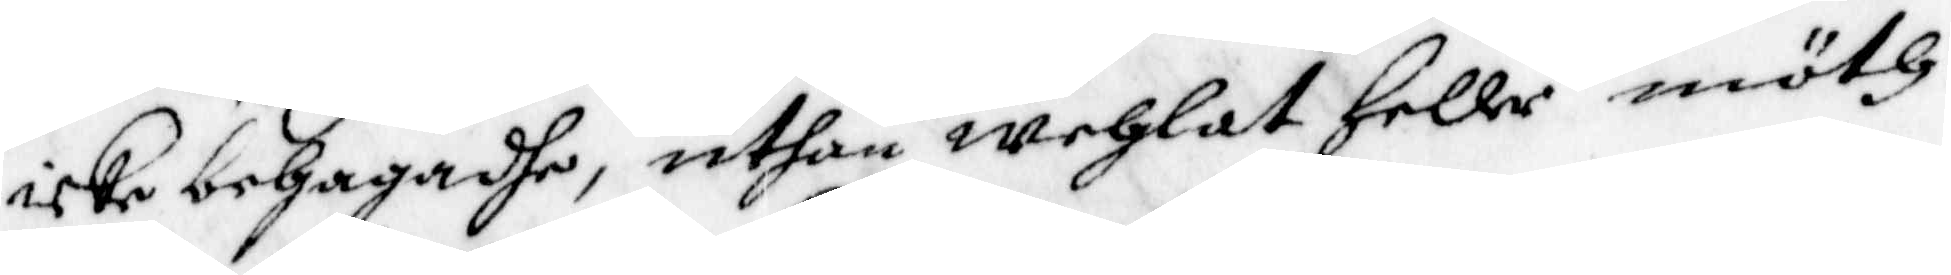icke behagadhe, uthan wehlat Heller möth
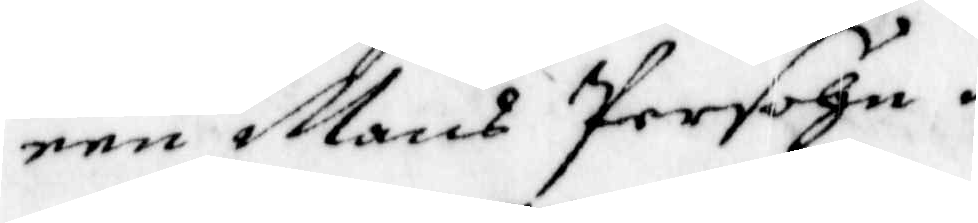een Mans Persohn.
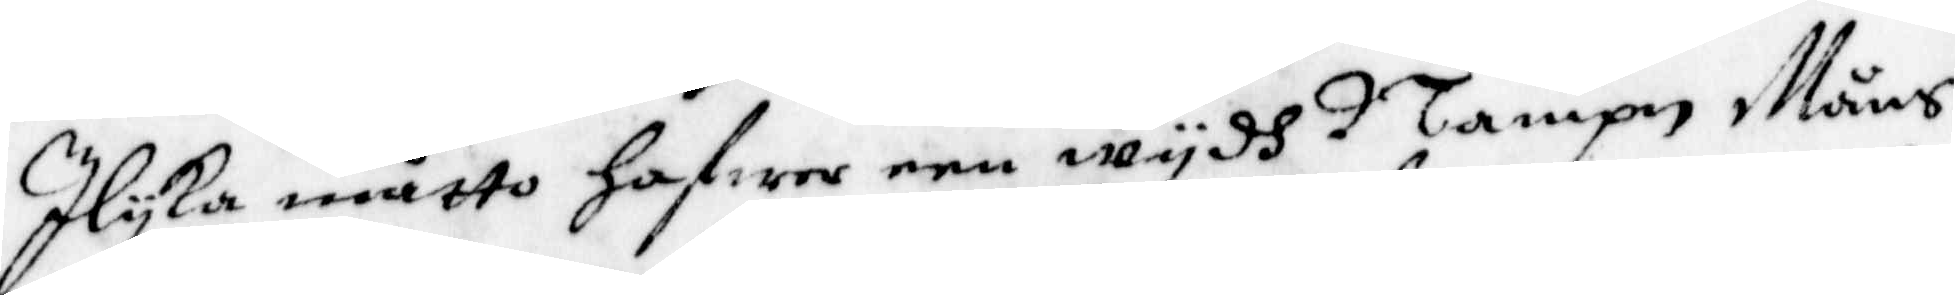Ilyka måtto hafwer een wydh Nampn Måns
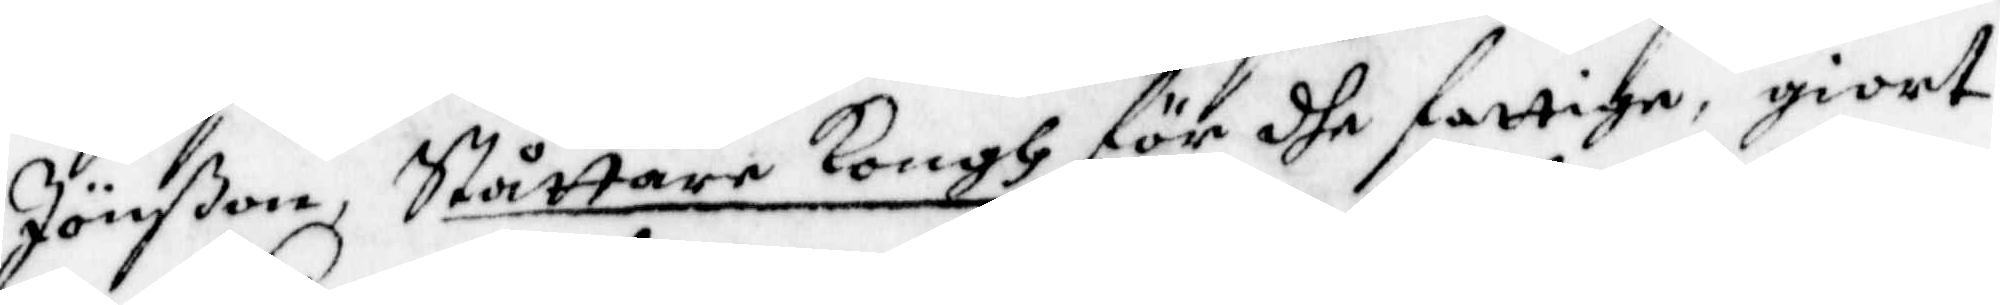Jönßon, Ståttare Kongh för dhe fattige, giort
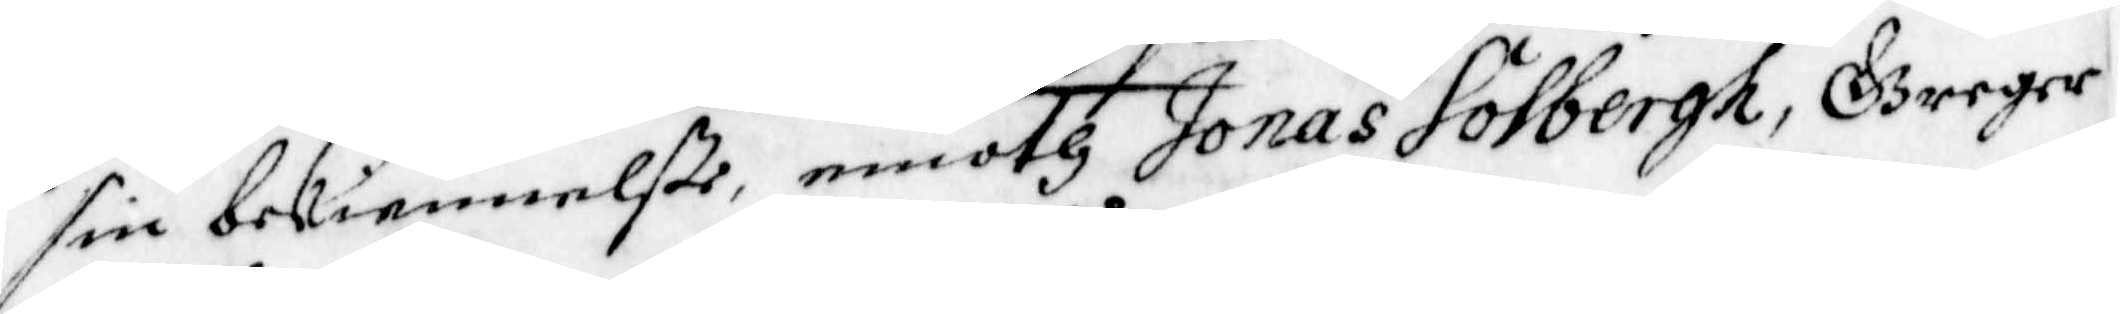sin bekiennelße, emoth Jonas Solbergh, Greger
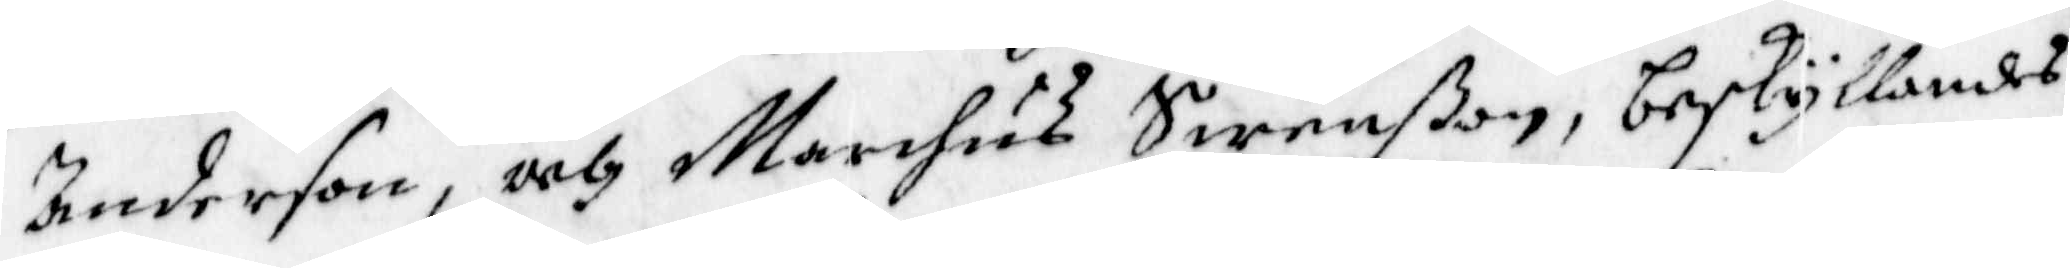Anderson, och Marchus Swenßon, beskyllandes
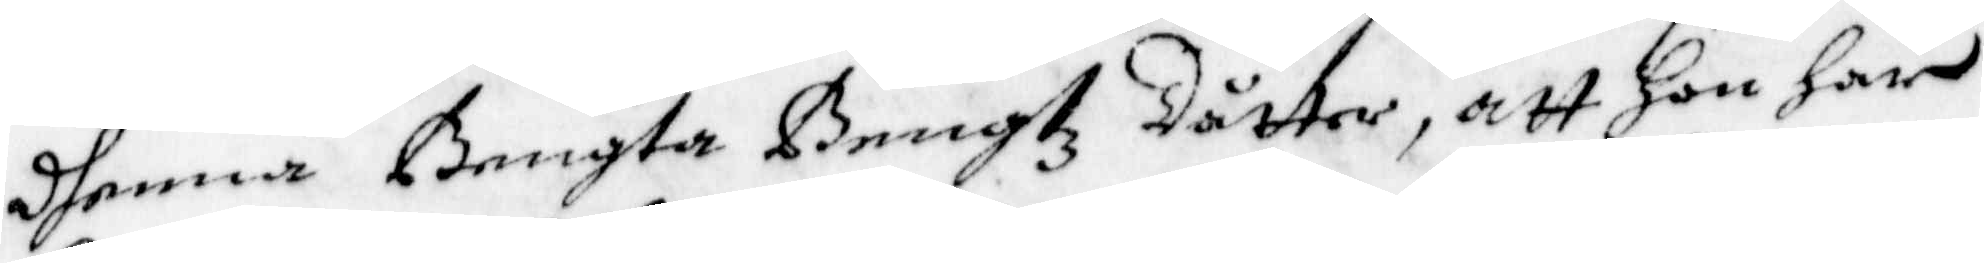dhenna Bengta Bengtz dotter, att hon har
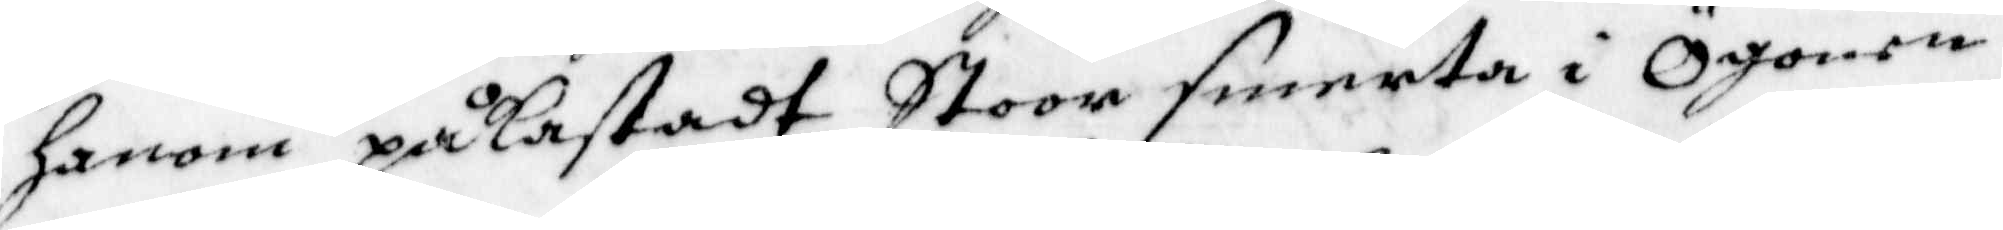honom påkastadt Stoor smerta i Ögonen
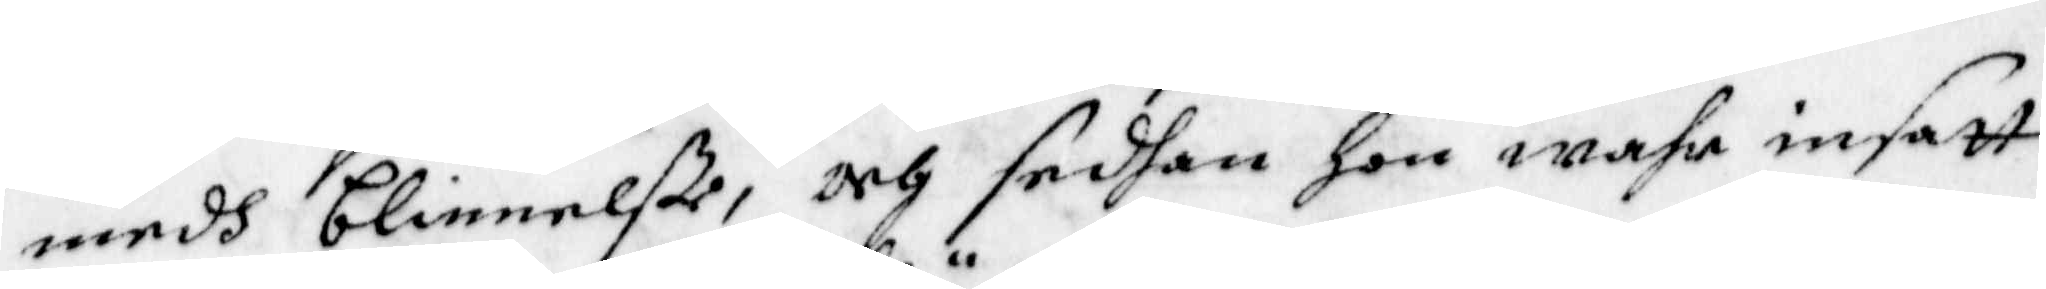medh blinnelße, och sedhan hon wahr insatt
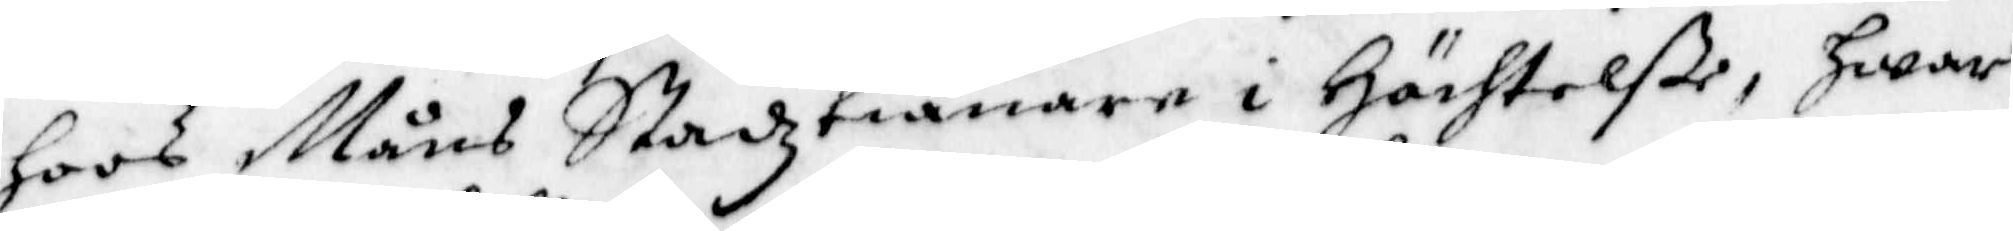hoos Måns Stadztiänare i Hächtelße, hwar
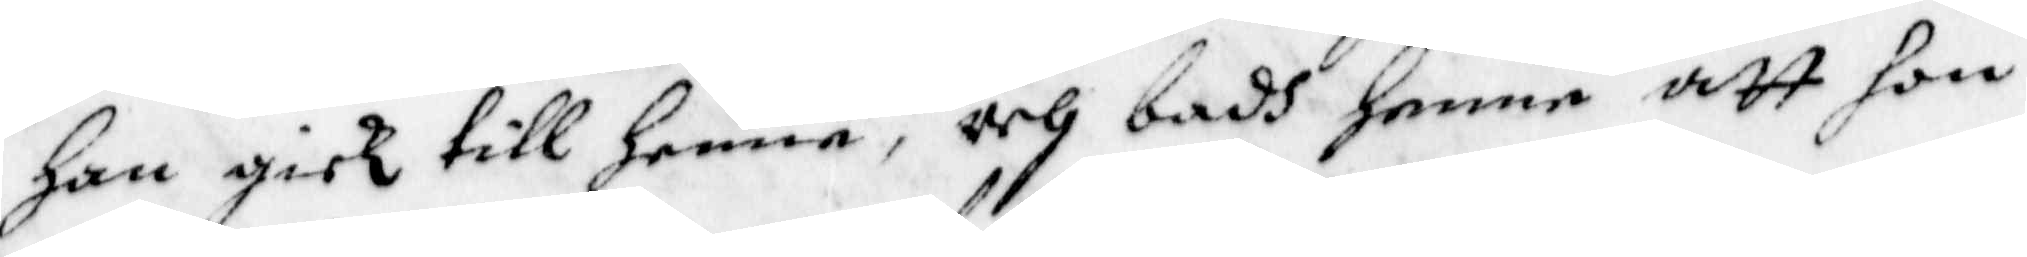han gick till henne, och badh henne att hon
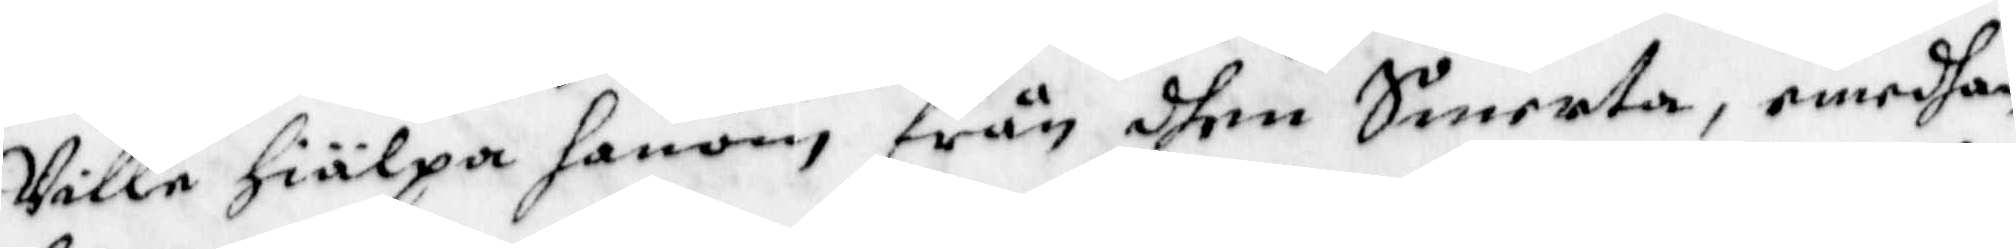Ville hiälpa honom från dhen Smerta, emedhan
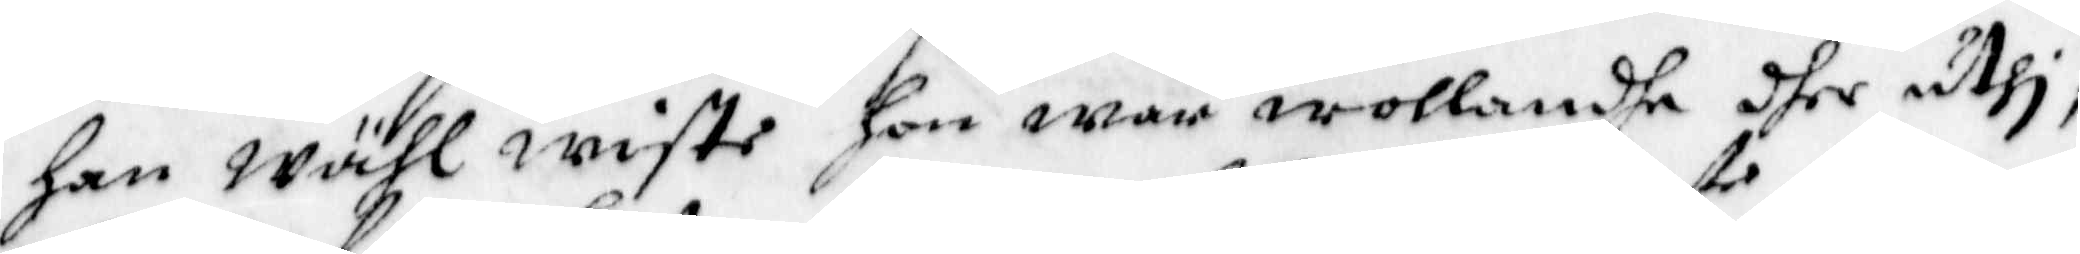han wähl wiste hon war wollande dher uthi,
